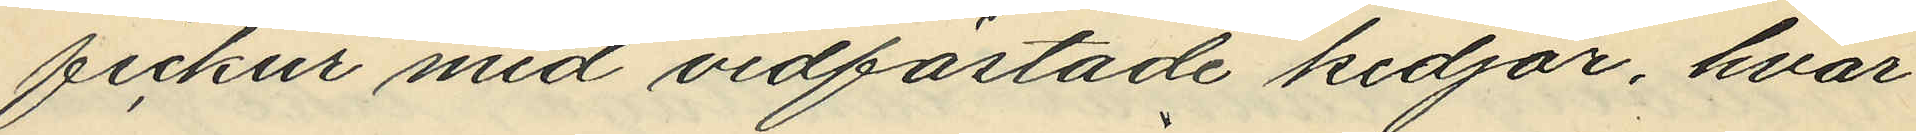fickur med vidfästade kedjor, hvar¬
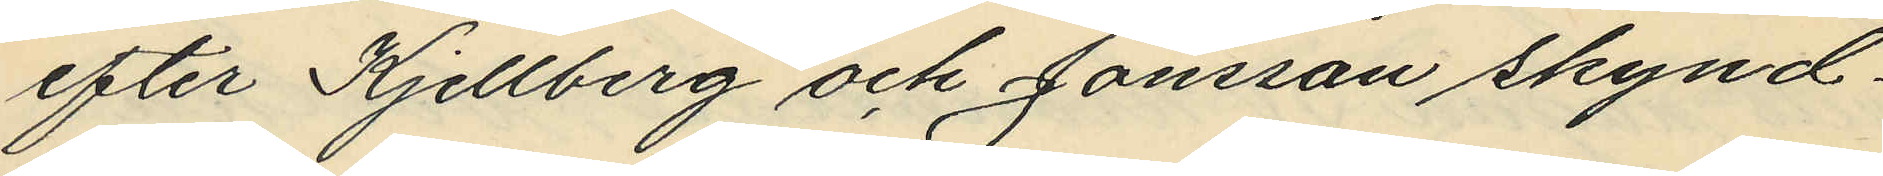efter Kjellberg och Jonsson skynd¬
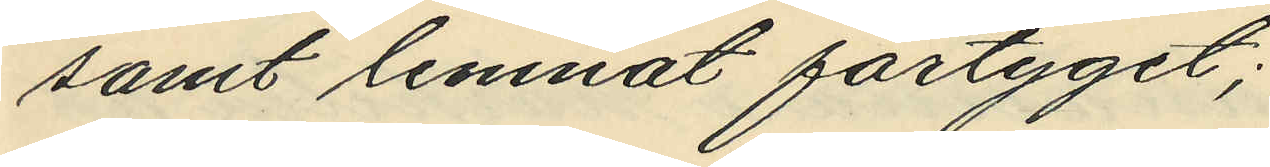samt lemnat fartyget;
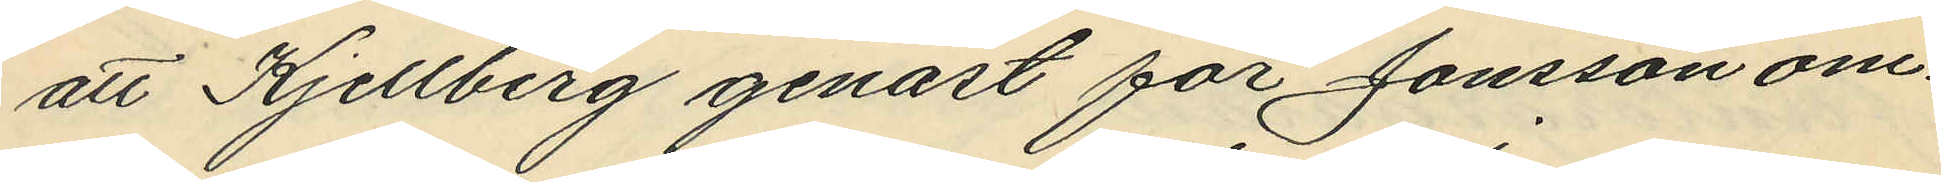att Kjellberg genast för Jonsson om¬
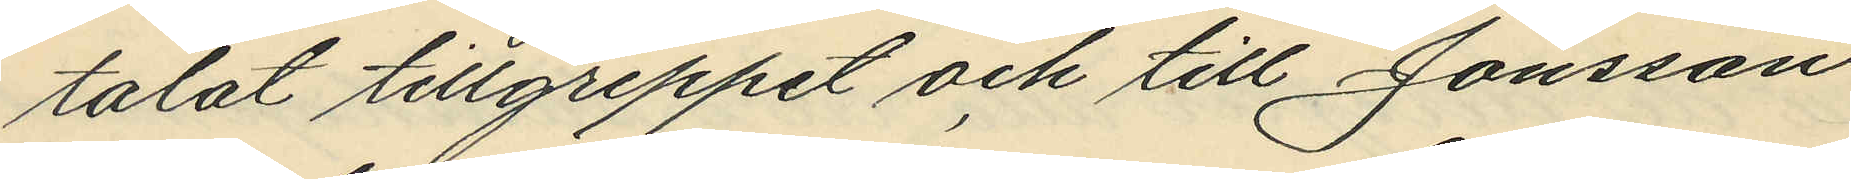talat tillgreppet och till Jonsson
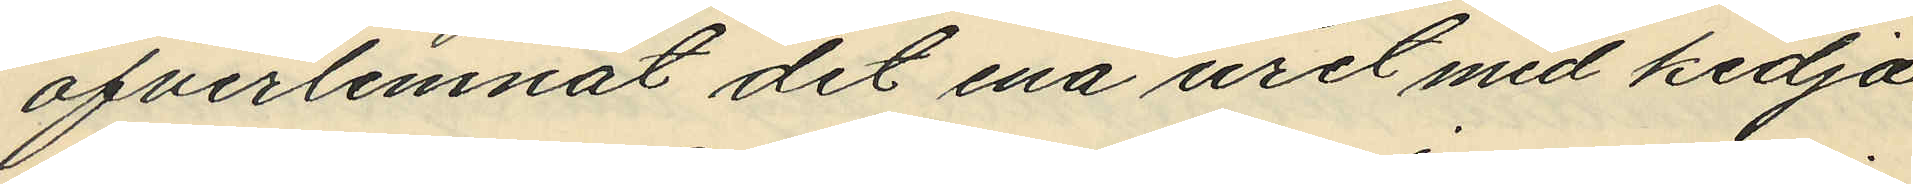öfverlemnat det ena uret med kedja,
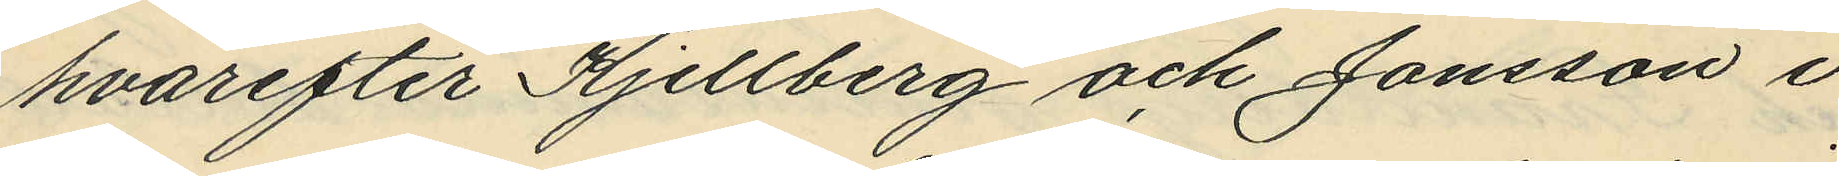hvarefter Kjellberg och Jonsson i
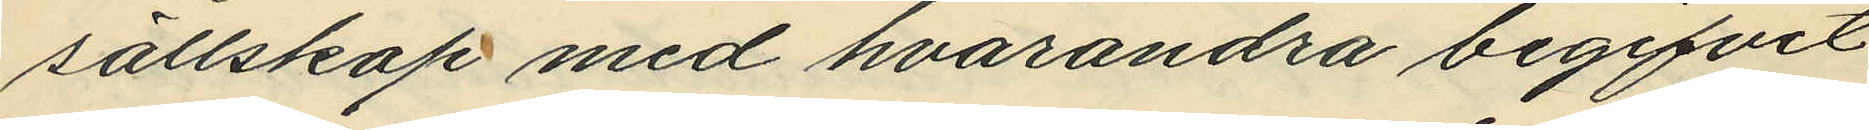sällskap med hvarandra begifvit
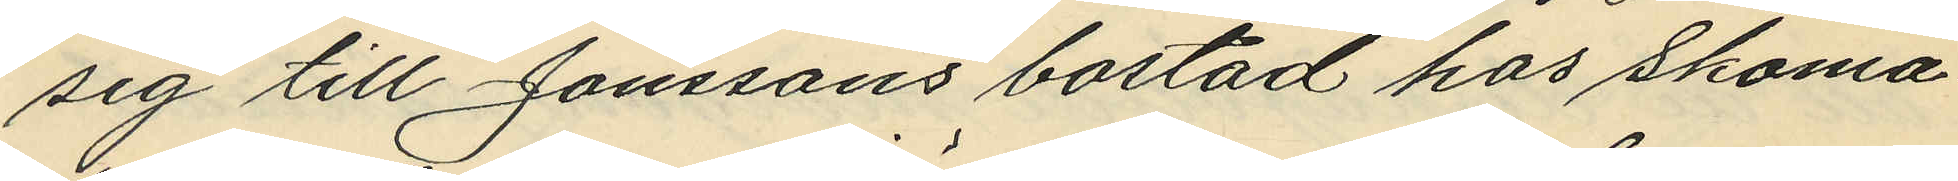sig till Jonssons bostad hos Skoma¬
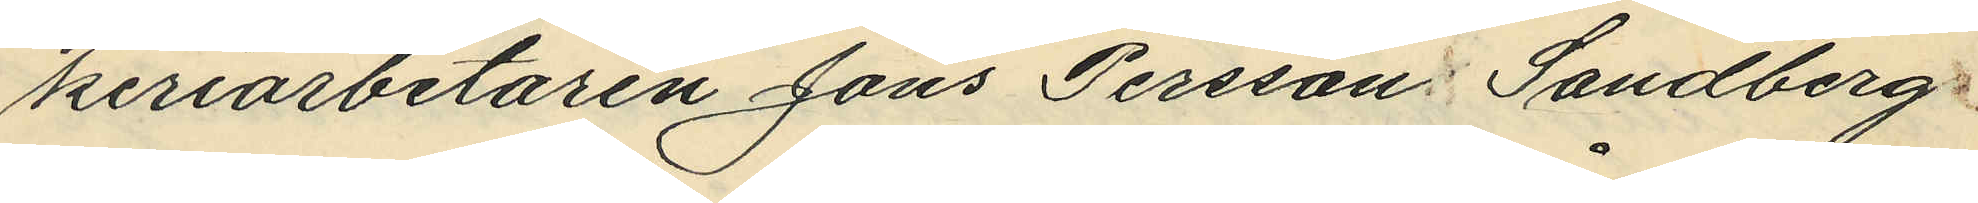keriarbetaren Jöns Persson Sandberg
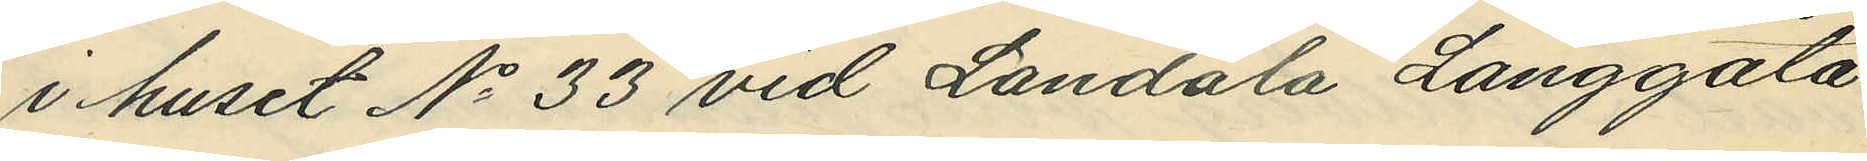i huset No 33 vid Landala Långgata
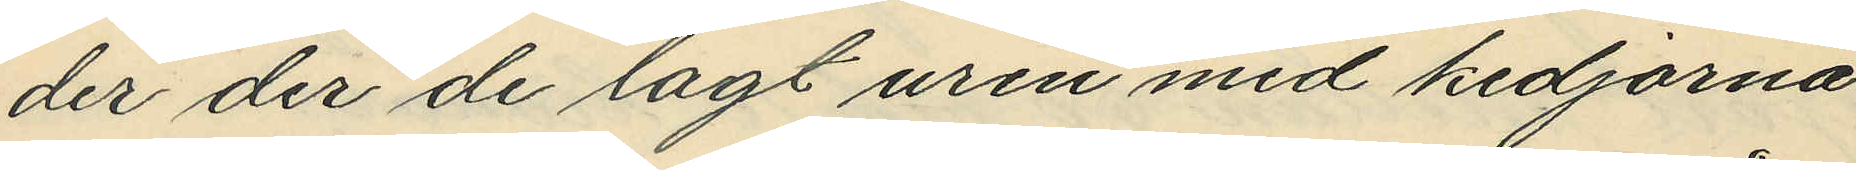der der de lagt uren med kedjorna
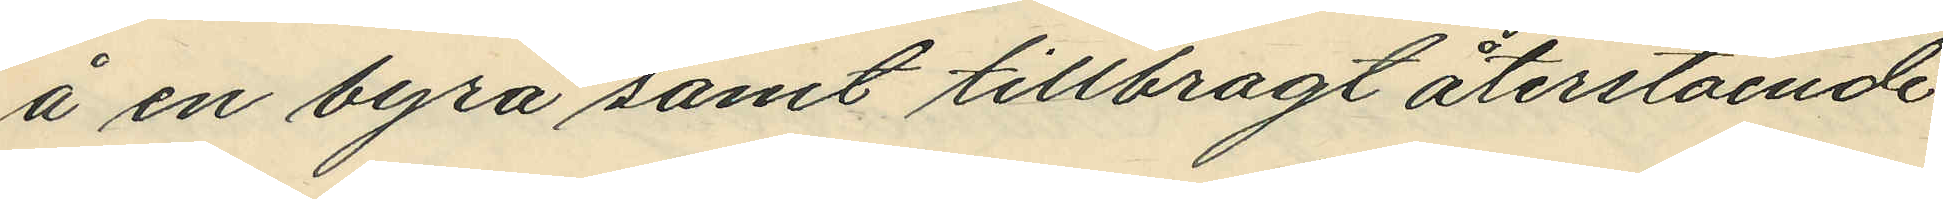å en byrå samt tillbragt återstående
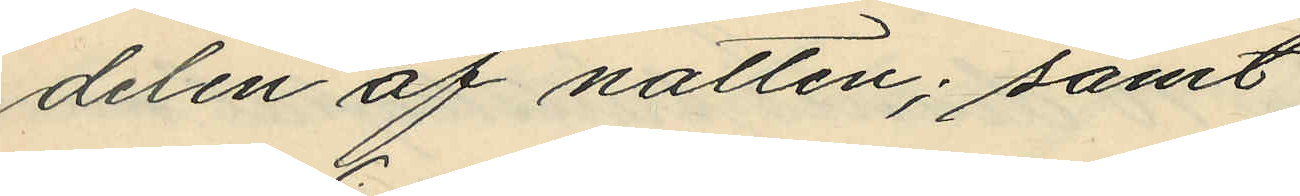delen af natten; samt
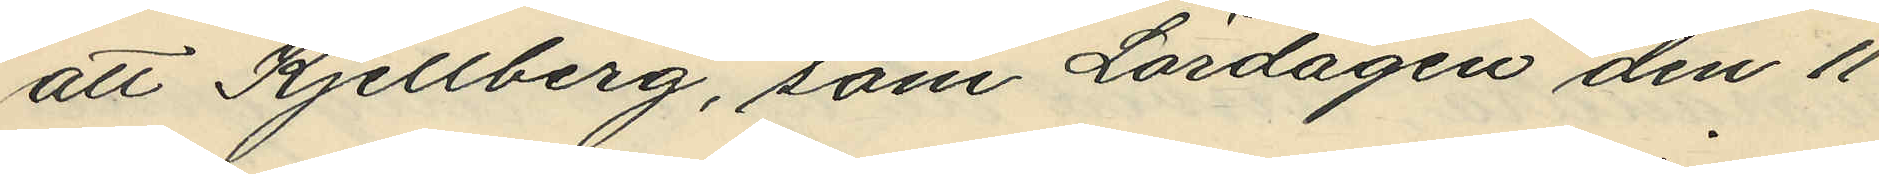att Kjellberg, som Lördagen den 11
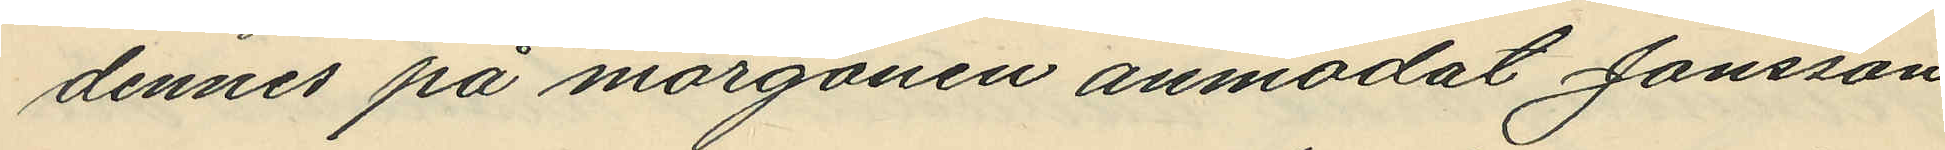dennes på morgonen anmodat Jonsson
